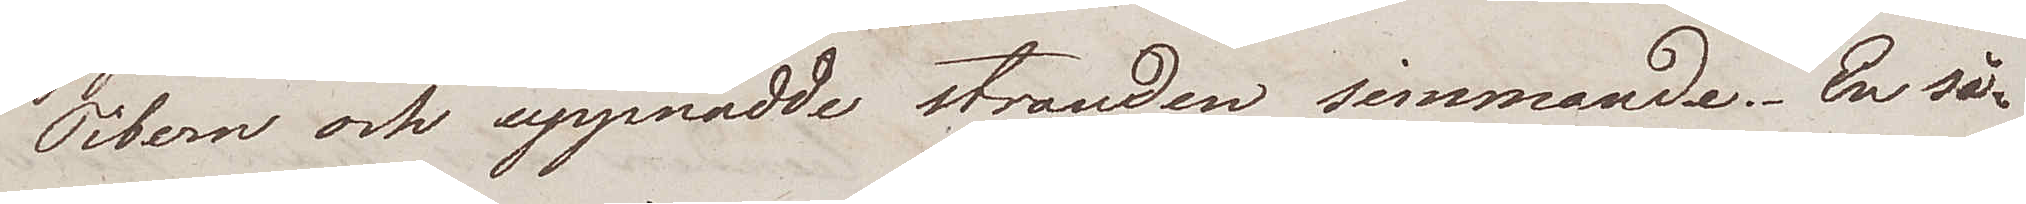Tibern och uppnådde stranden simmande. En så¬
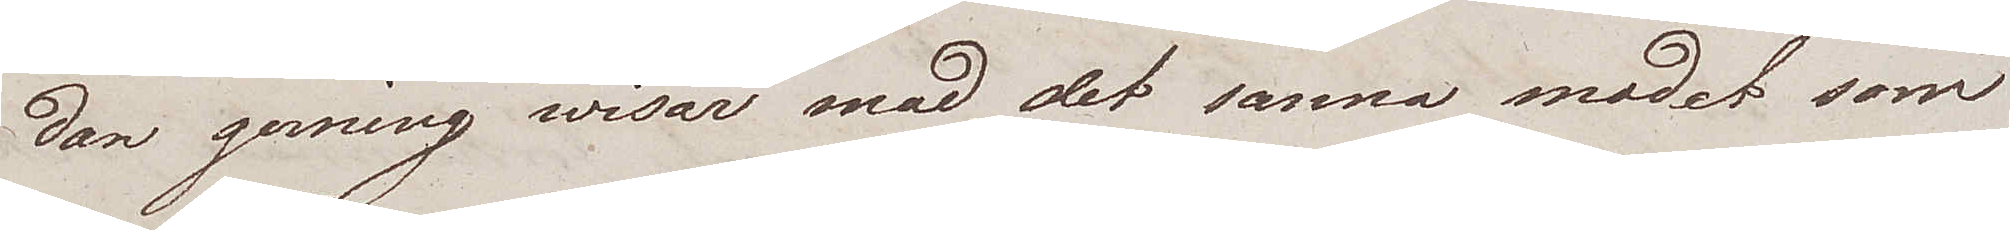dan gerning wisar mod, det sanna modet som
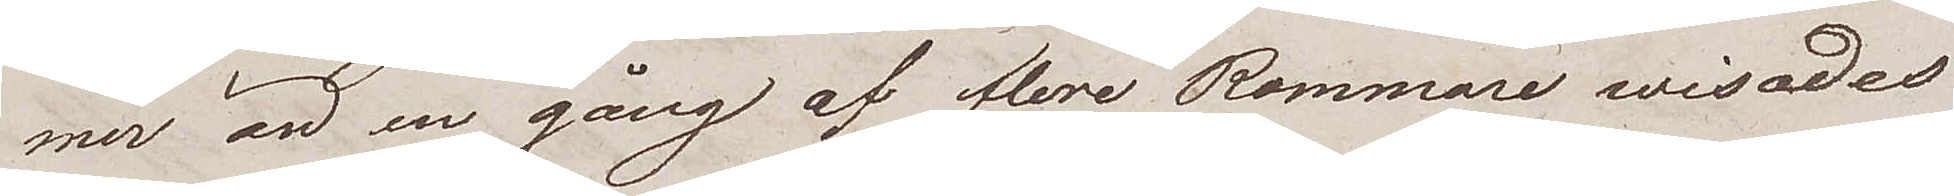mer än en gång af flere Rommare wisades
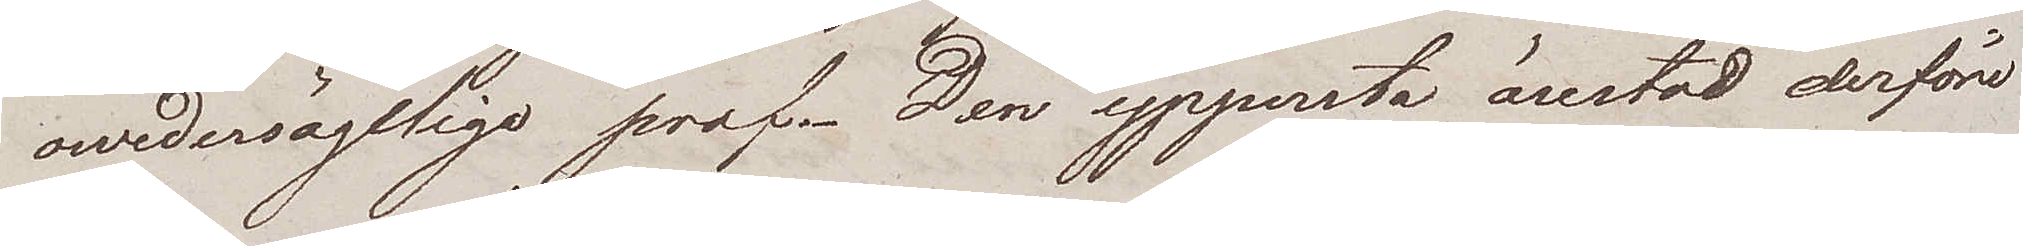owedersägeliga prof. Den yppersta ärestod derföre
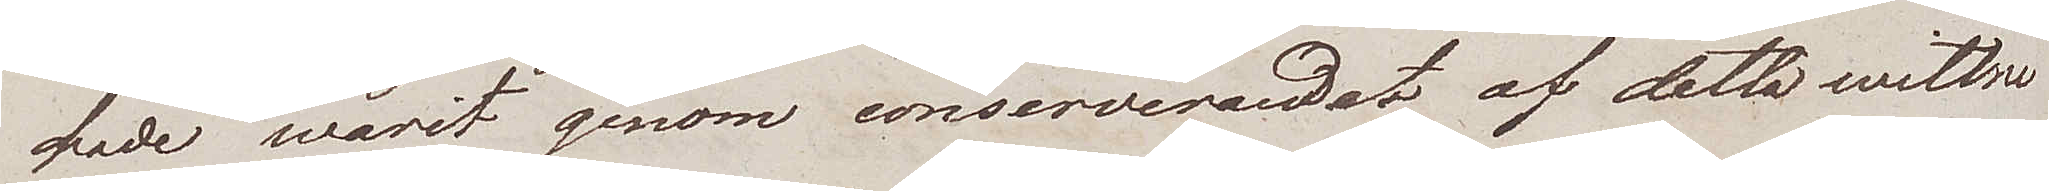hade warit genom conserverandet af detta wittne
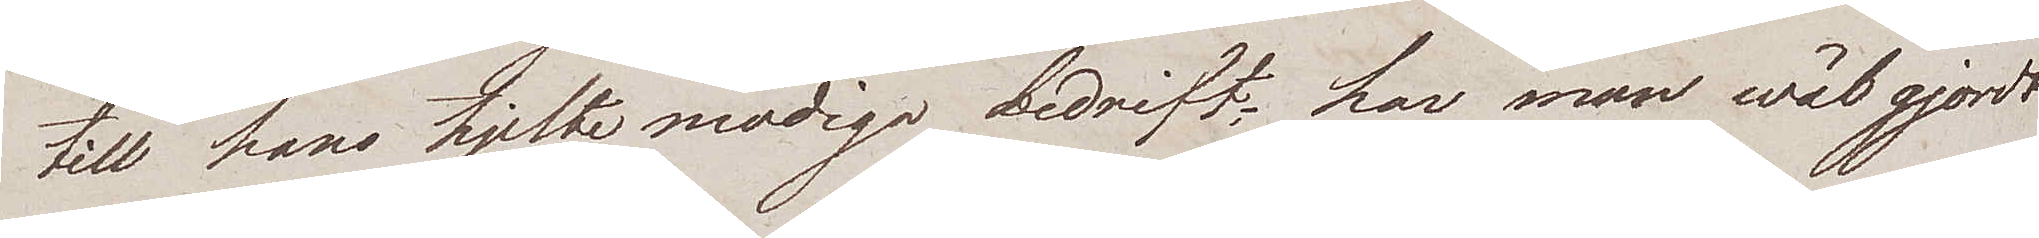till hans hjelte modiga bedrift; har man wäl gjordt
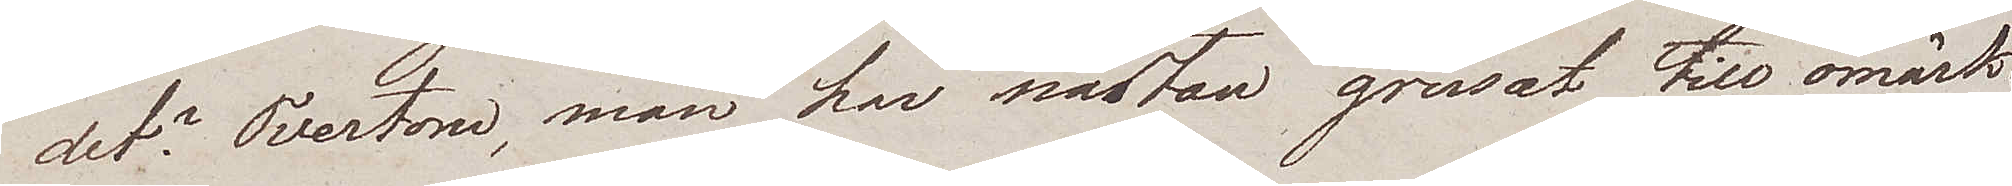det? Tvertom, man har nästan grusat till omärk¬
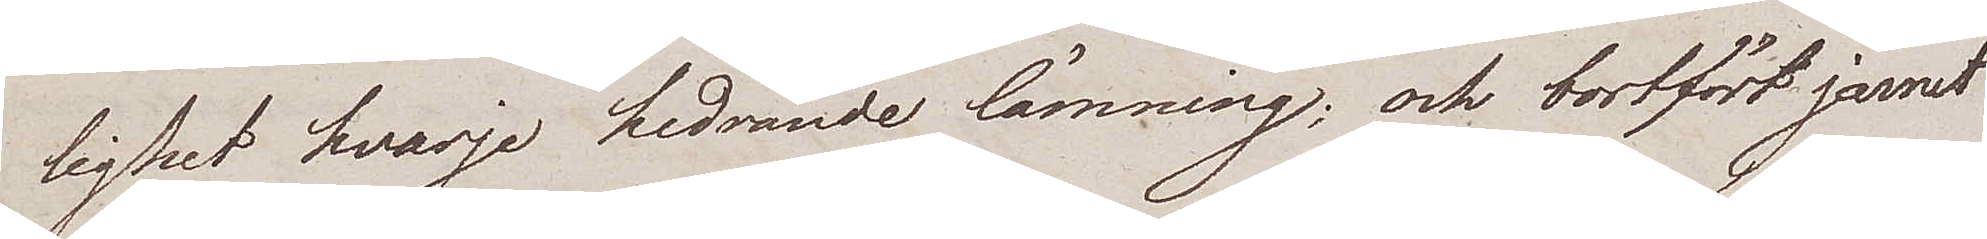lighet hvarje hedrande lämning; och bortfört järnet
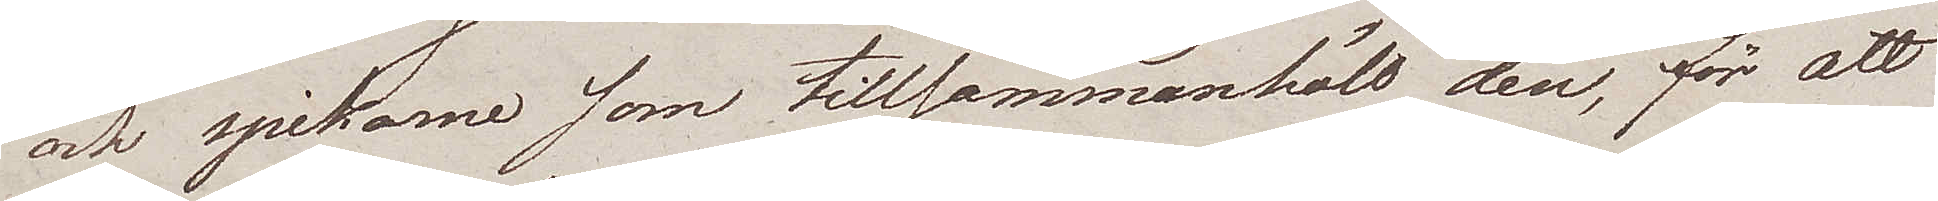och spikarne som tillsammanhöll den, för att
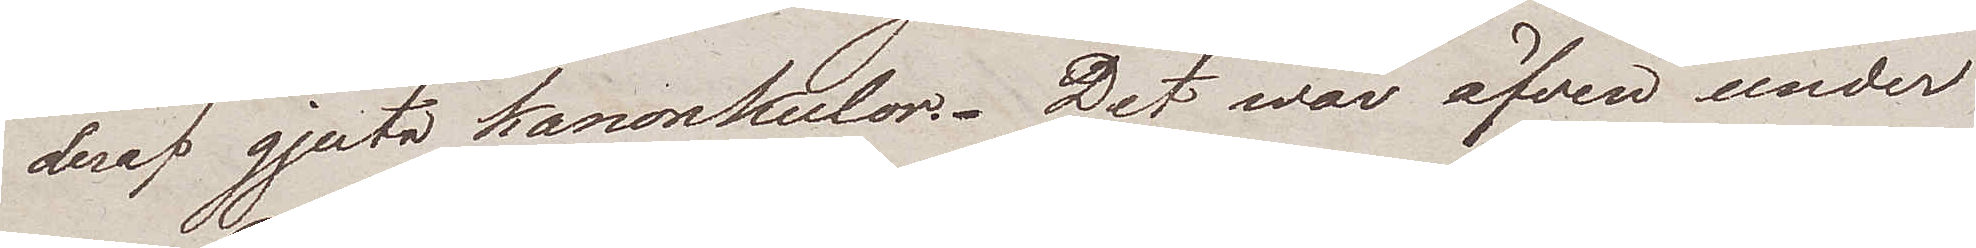deraf gjuta kanonkulor. Det war äfven under
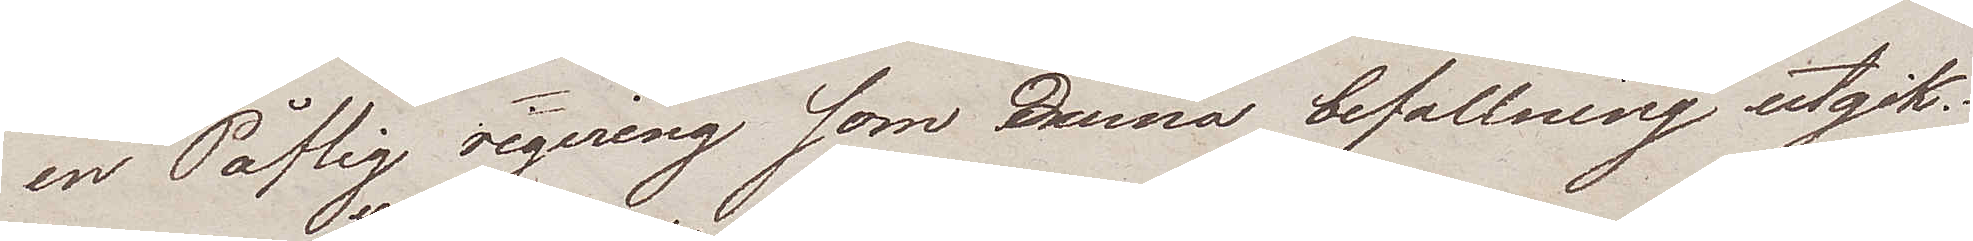en Påflig regering som denna befallning utgik.
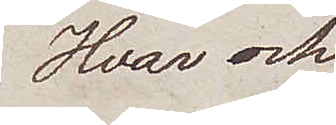Hvar och
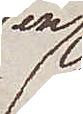en
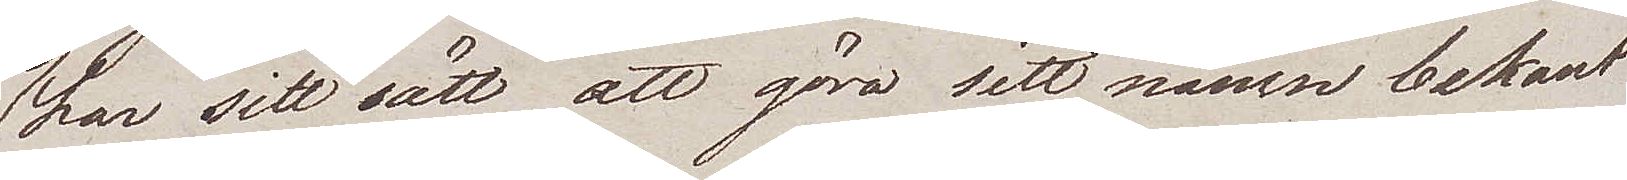har sitt sätt att göra sitt namn bekant
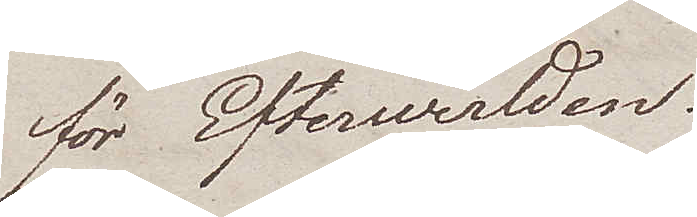för Efterwerlden.
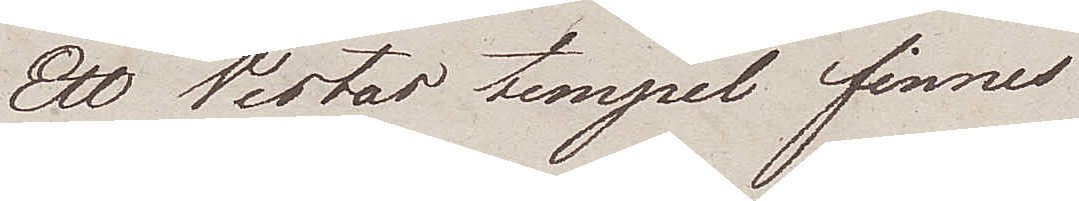Ett Vestas tempel finnes
